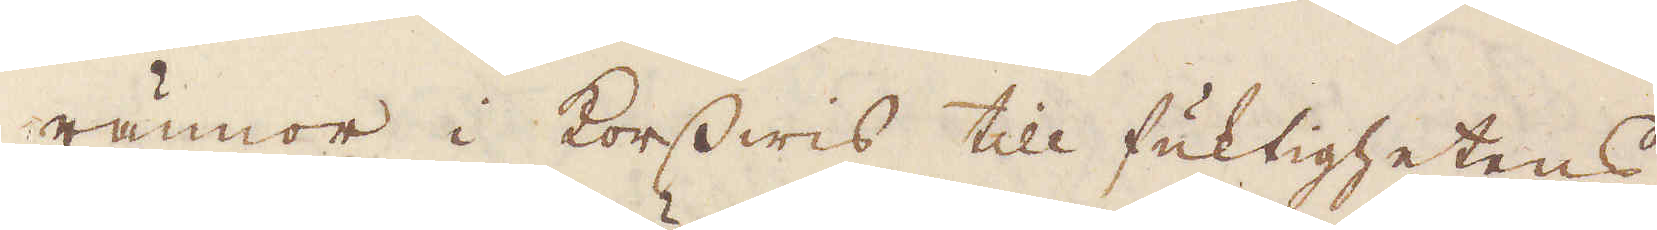rännor i korswis till fuktighetens
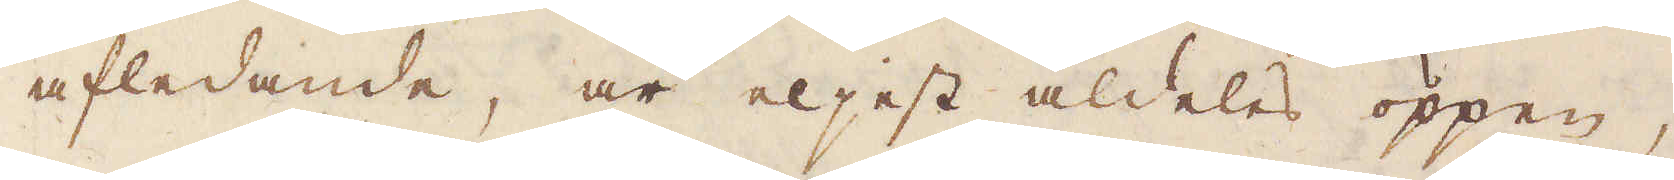afledande, är eljest aldeles öppen,
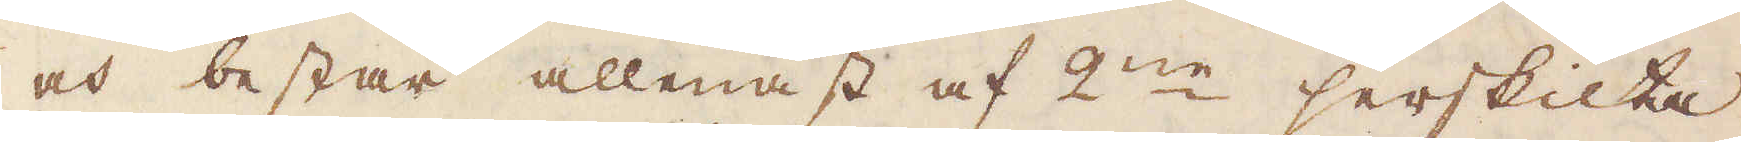och består allenast af 2:ne serskilta
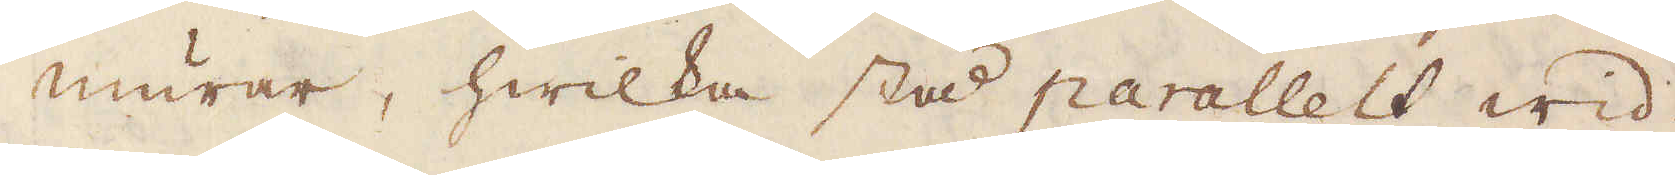murar, hwilka stå parallelt wid
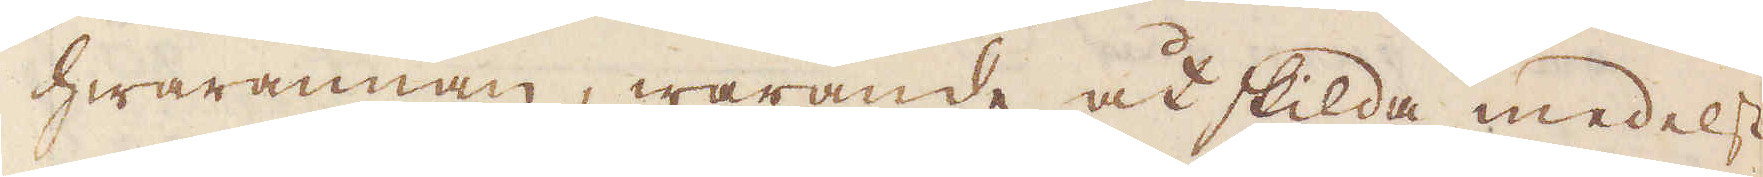hwarannan, warande åtskilda medelst
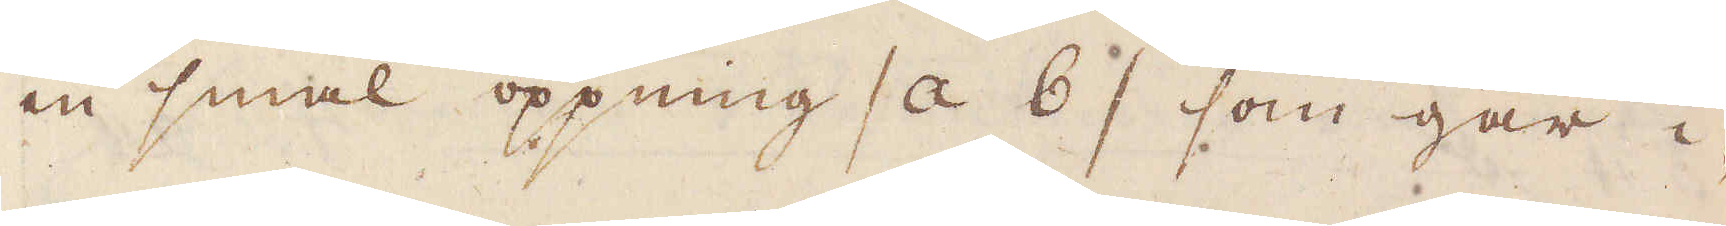en smal öppning /a b / som går i-
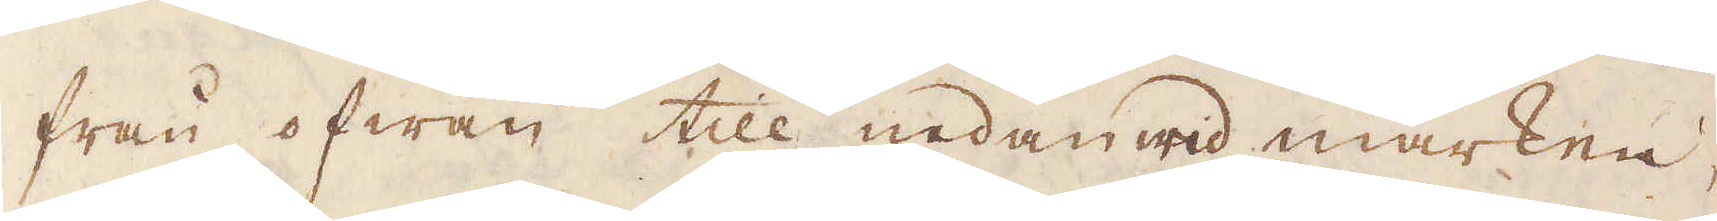från ofwan till nedanwid marken,
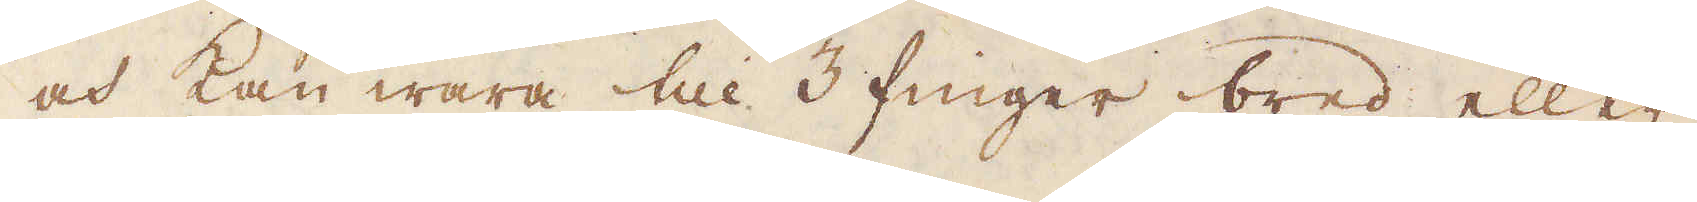och kan wara till 3 finger bred eller
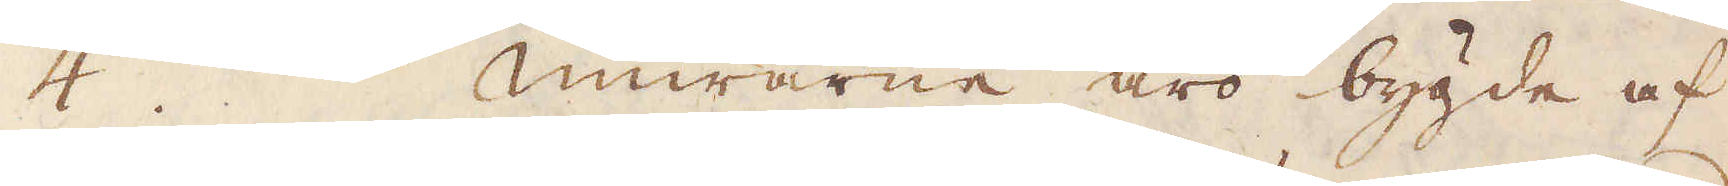4. Murarne äro bygde af
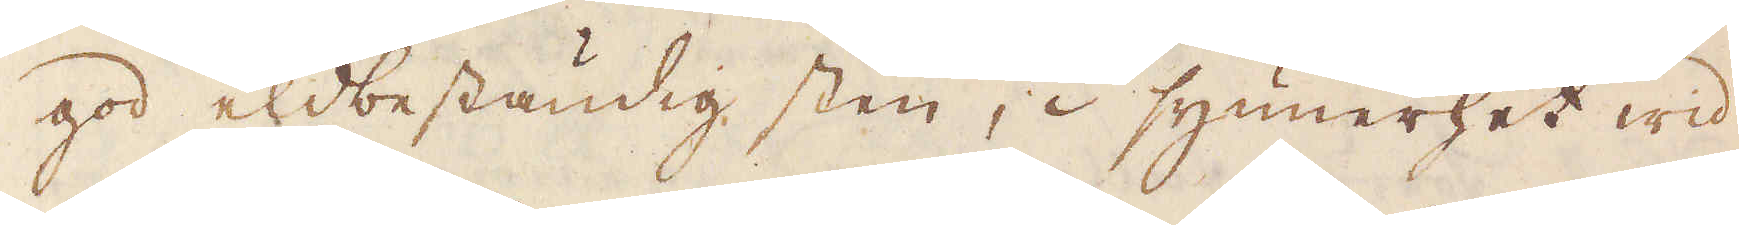god eldbeständig sten, i synnerhet wid
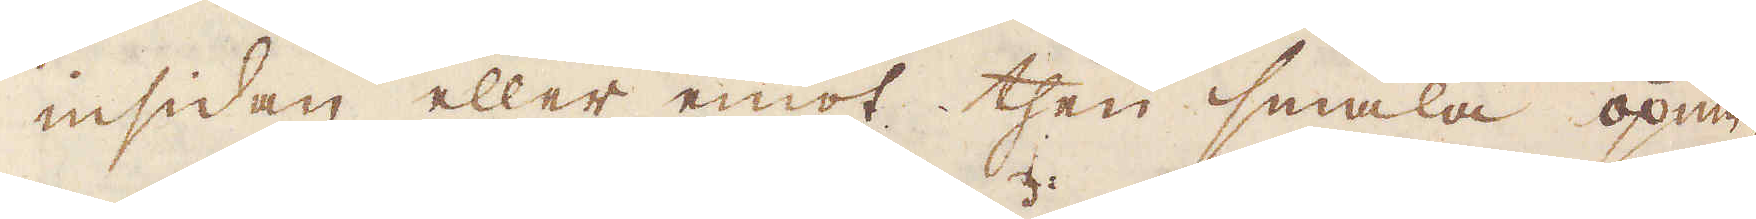insidan eller emot then smala öpnin-
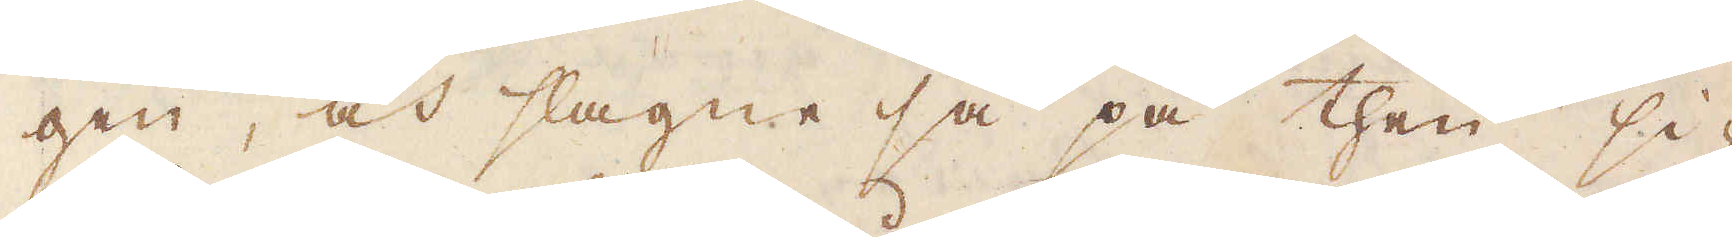gen, och slagne så på then si-
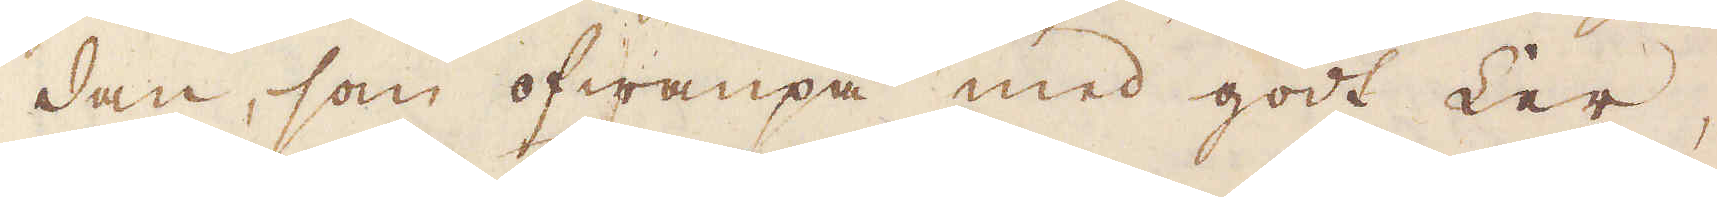dan, som ofwanpå med godt Ler,
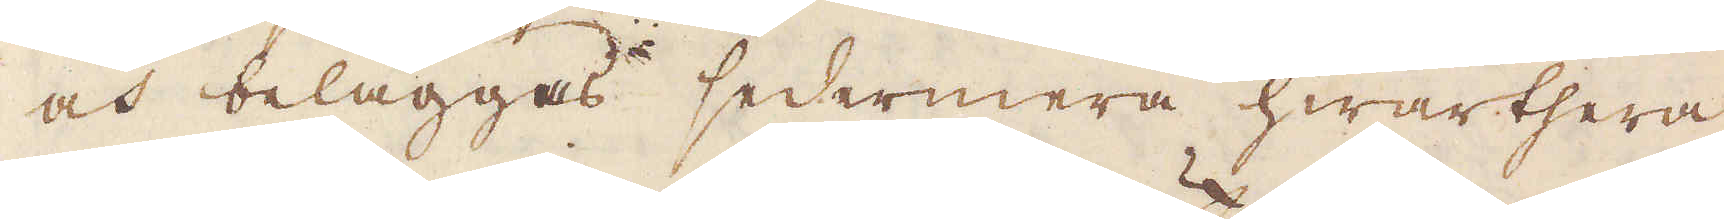och beläggas sedermera hwarthera
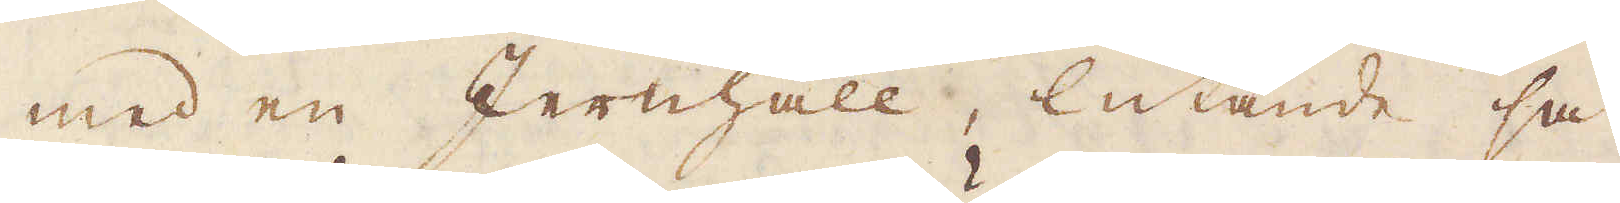med en Jernhäll, lutande så
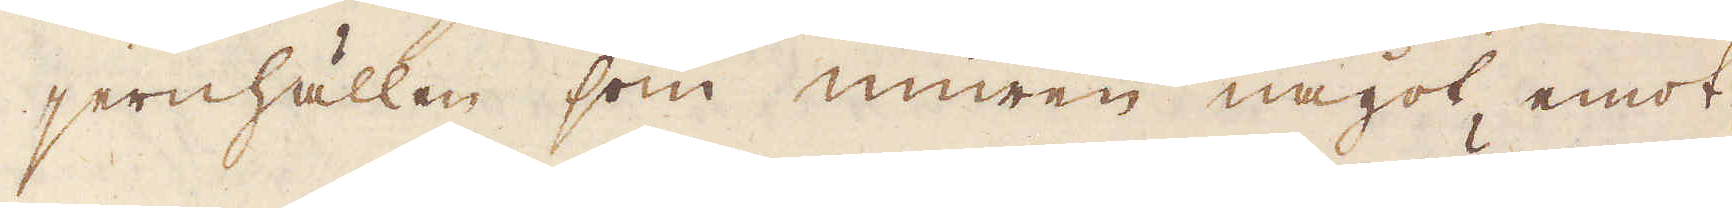jernhällen som muren något emot
